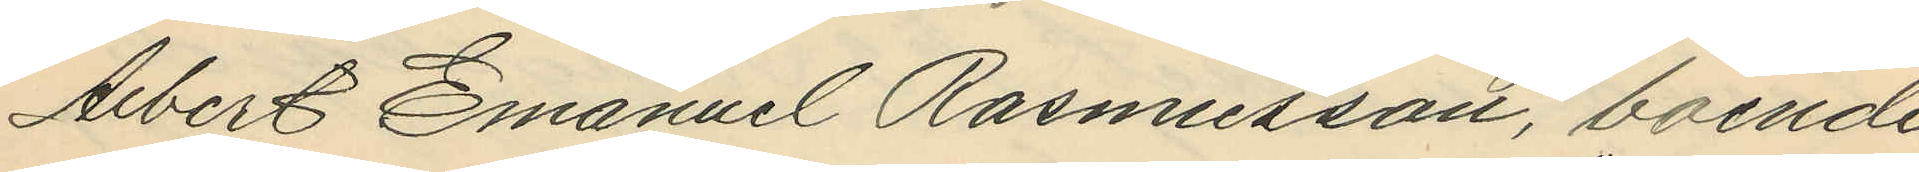Albert Emanuel Rasmusson, boende
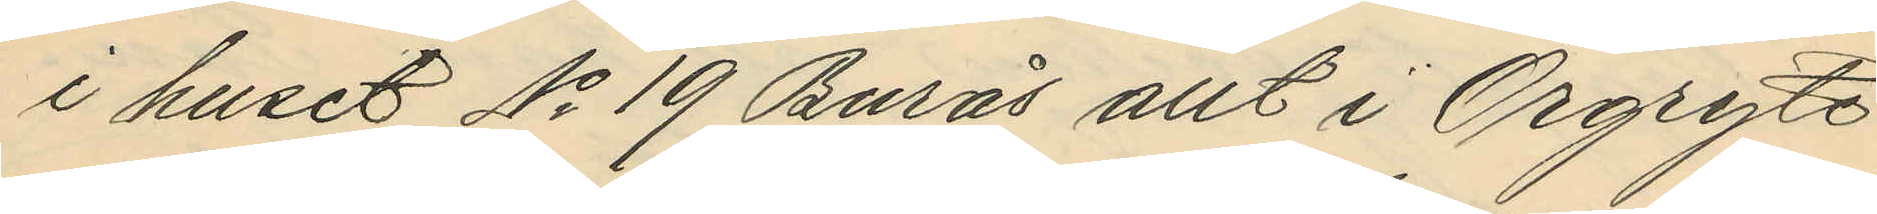i huset No 19 Burås allt i Örgryte
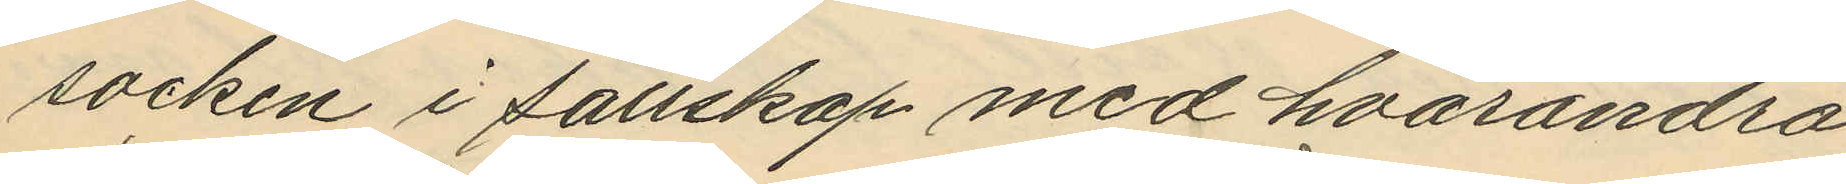socken i sällskap med hvarandra
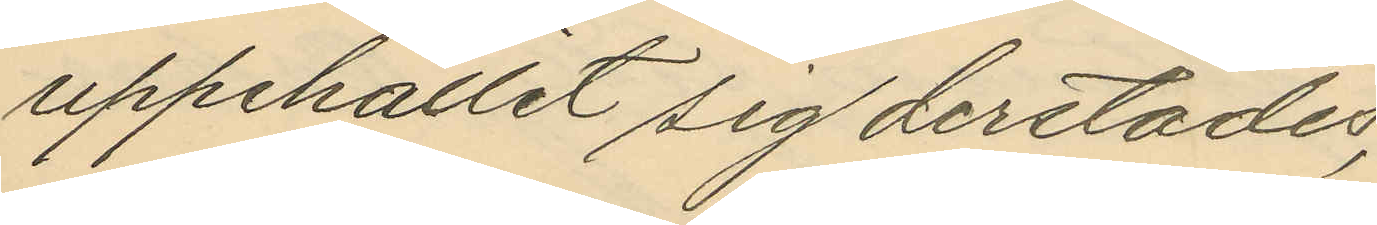uppehållit sig derstädes;
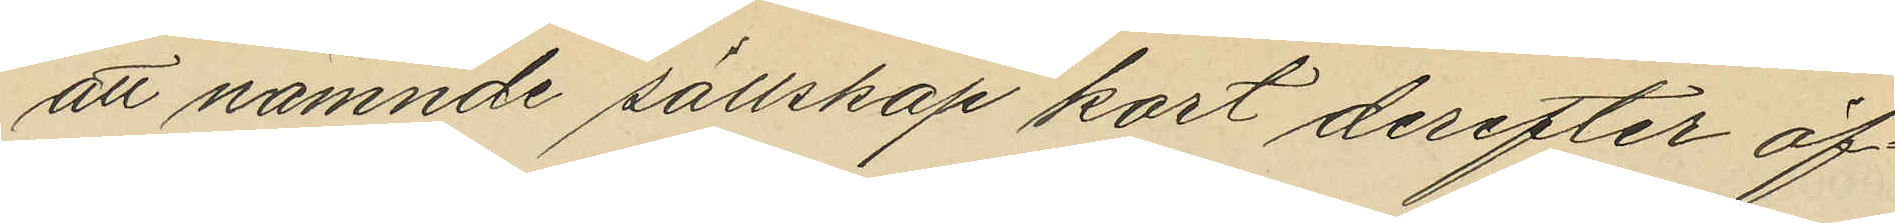att nämnde sällskap kort derefter öf¬
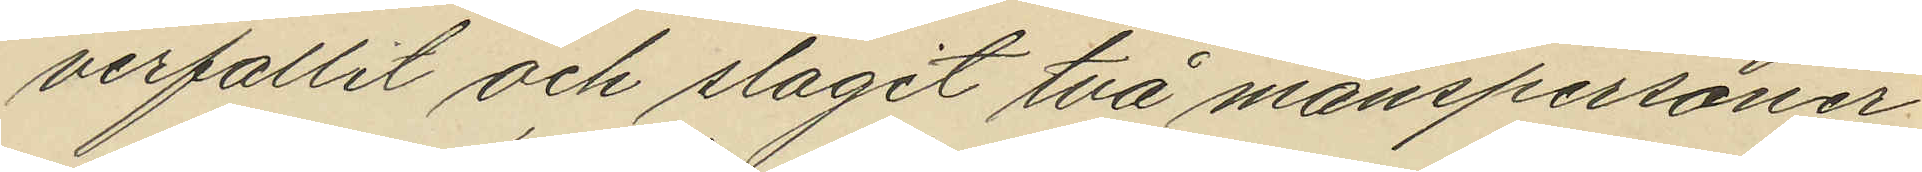verfallit och slagit två manspersoner
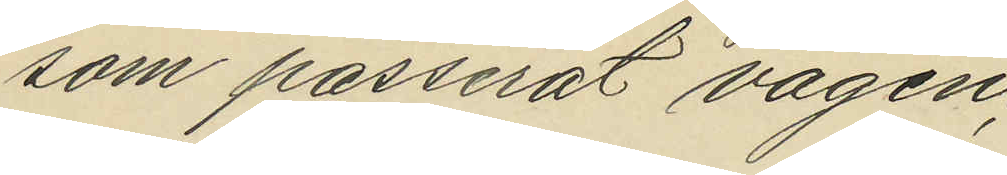som passerat vägen;
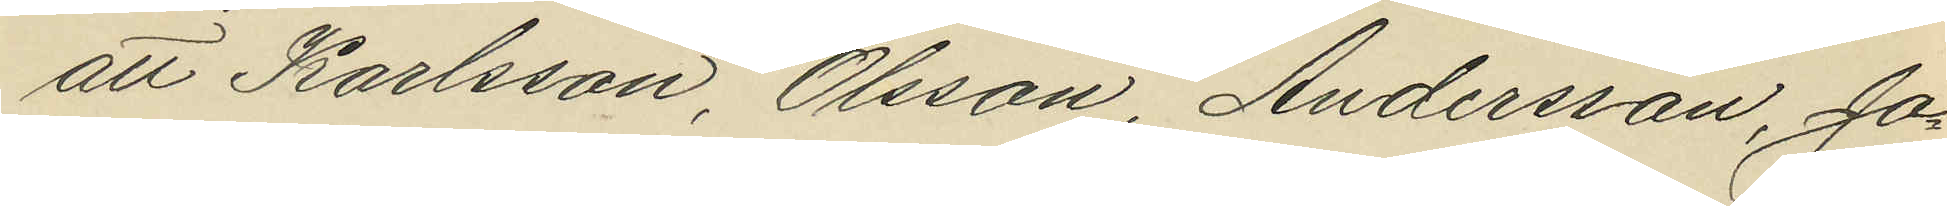att Karlsson, Olsson, Andersson, Jo¬
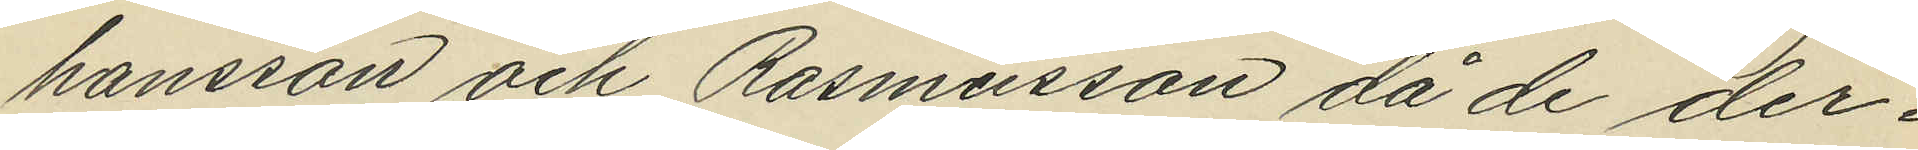hansson och Rasmusson då de der¬
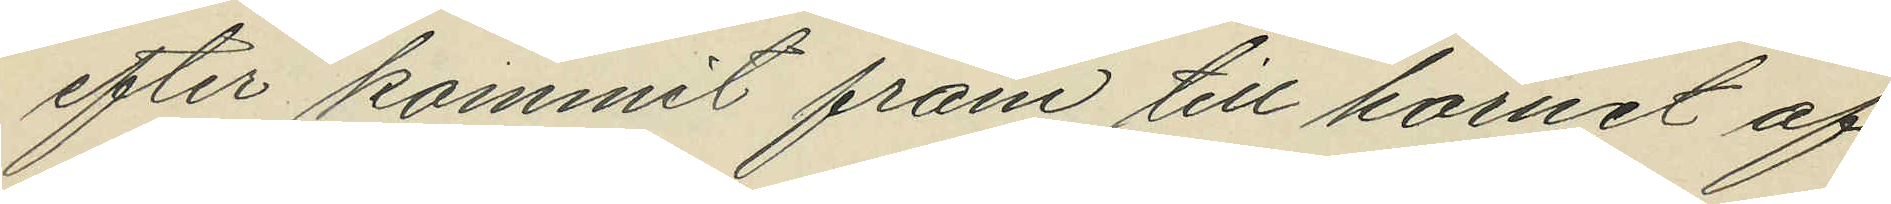efter kommit fram till hörnet af
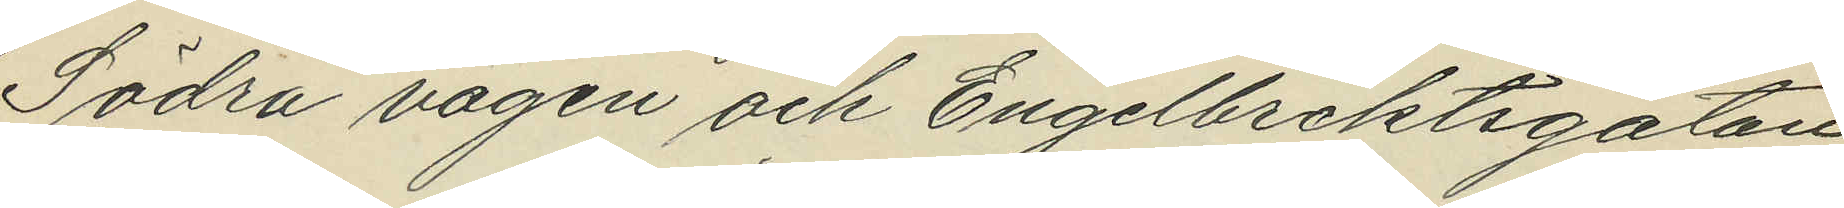Södra vägen och Engelbrektsgatan
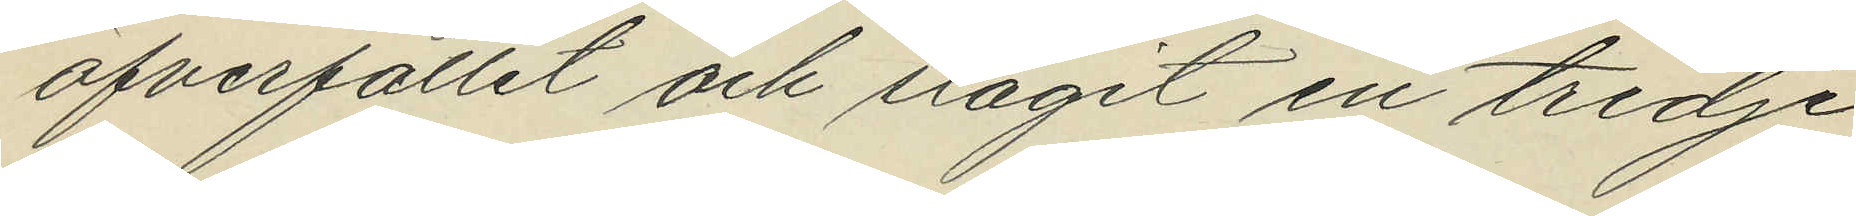öfverfallit och slagit en tredje
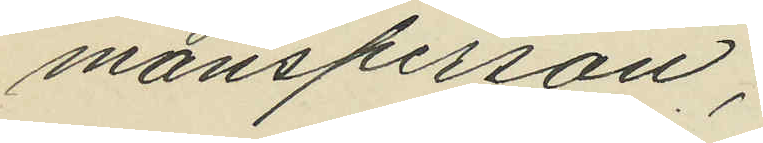mansperson;
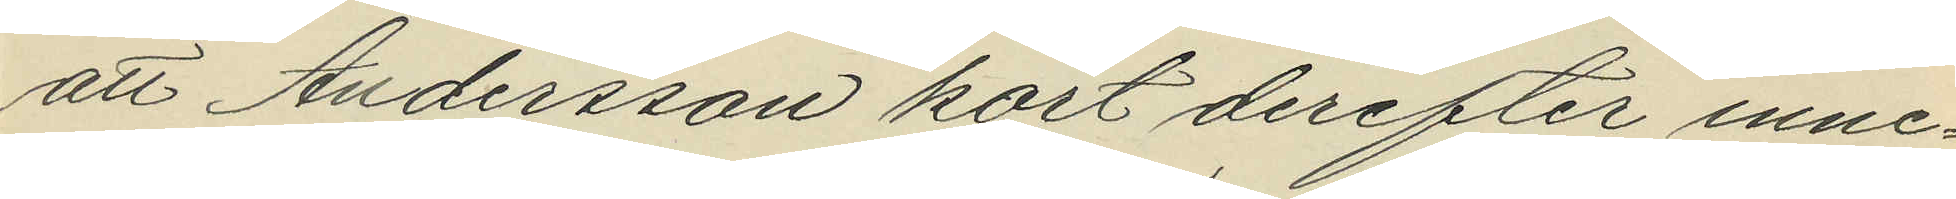att Andersson kort derefter inne¬
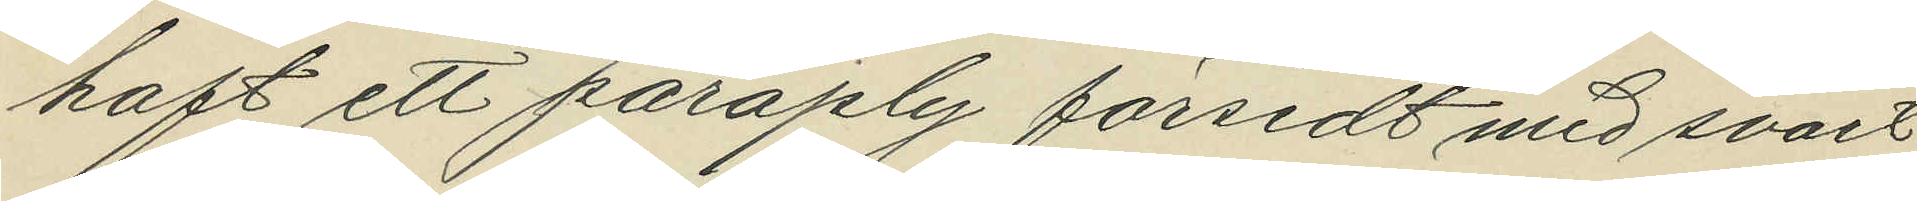haft ett paraply försedt med svart
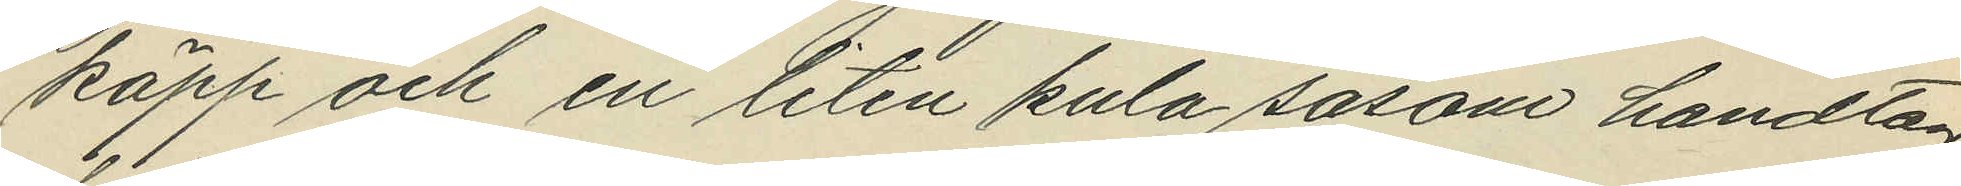käpp och en liten kula såsom handtag,
